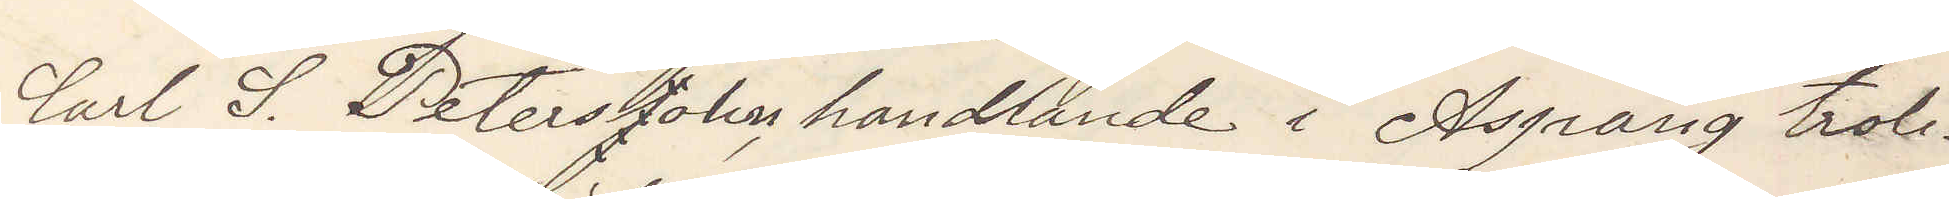Carl S. Peterssohn handlande från Asprång troli¬
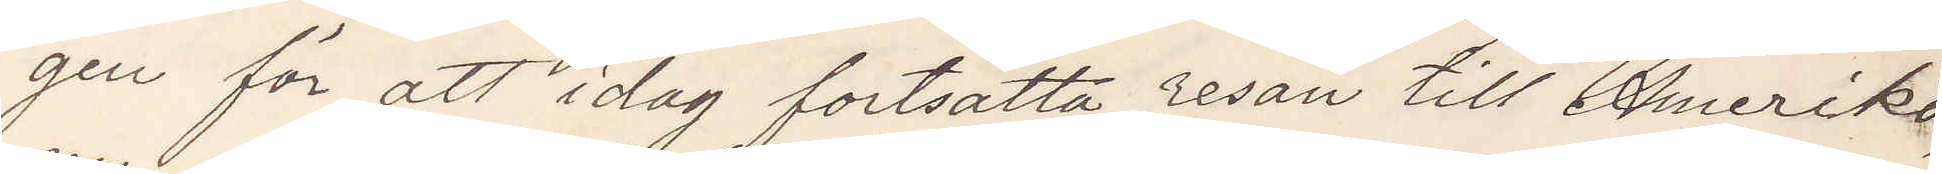gen för att i dag fortsätta resan till Amerika
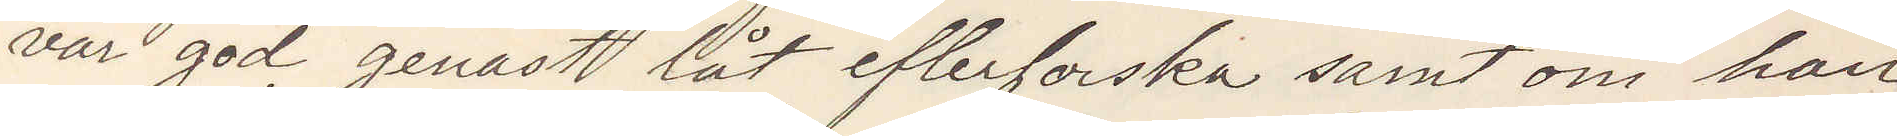var god genast låt efterforska samt om han
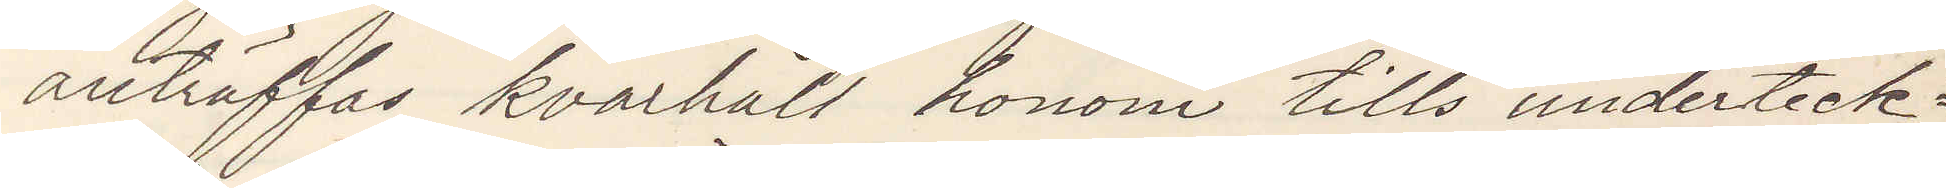anträffas kvarhåll honom tills underteck¬
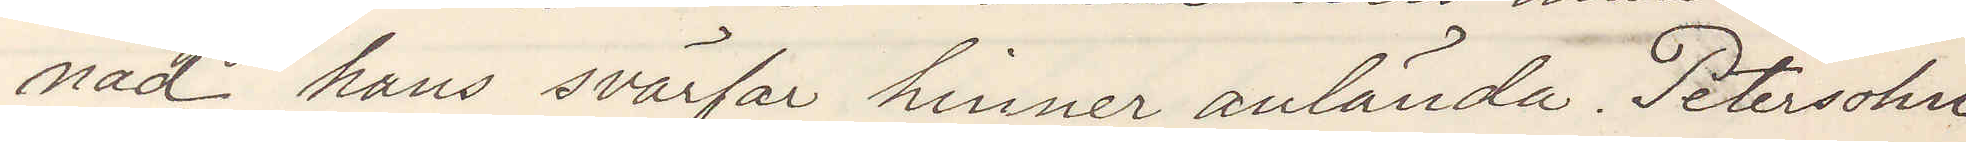nad hans svärfar hinner anlända. Petersohn
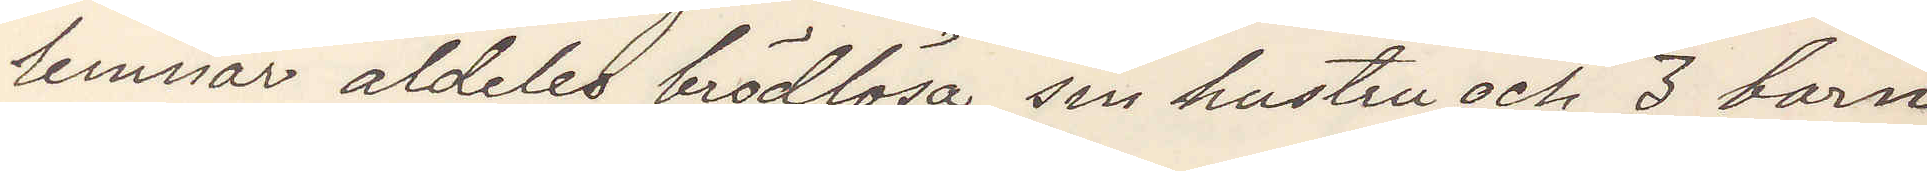lemnar aldeles brödlösa sin hustru och 3 barn
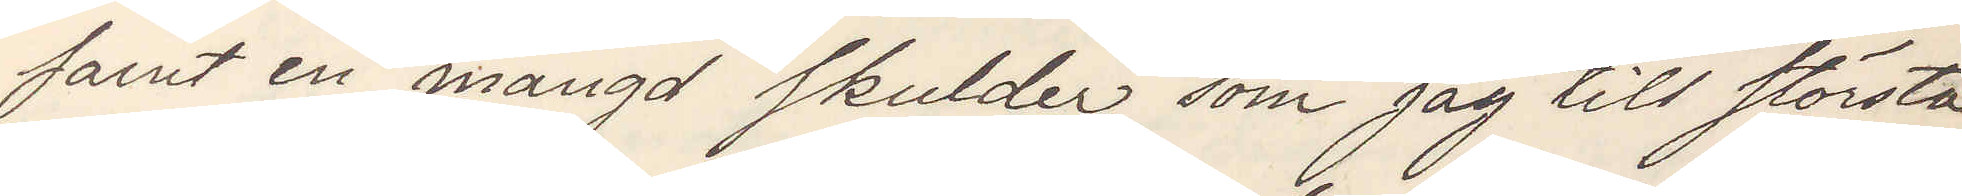samt en mängd skulder som jag till största
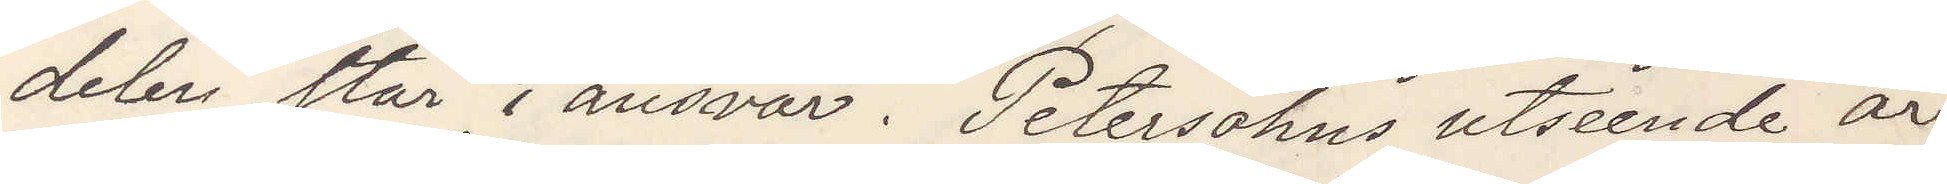delen står i ansvar. Petersohns utseende är:
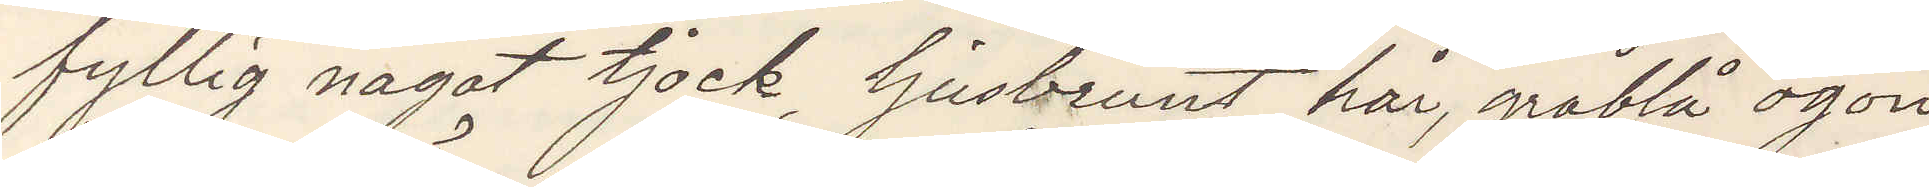fyllig något tjock ljusbrunt hår, gråblå ögon
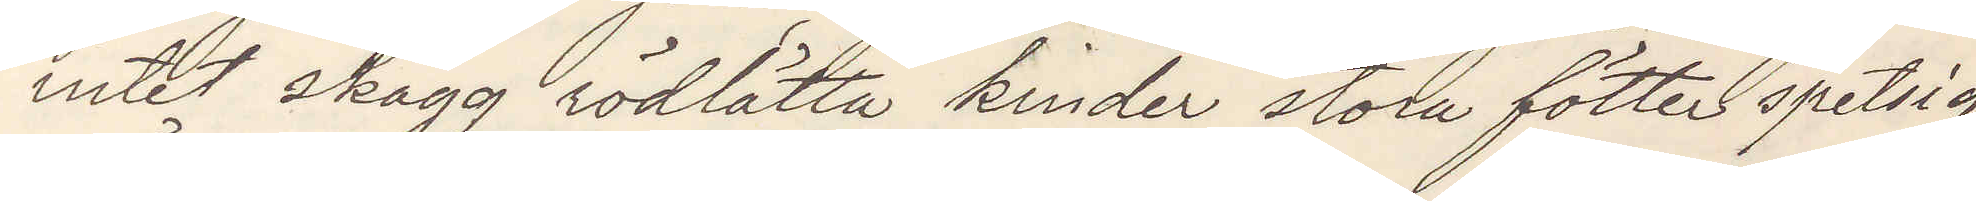intet skägg rödlätta kinder stora fötter spetsig
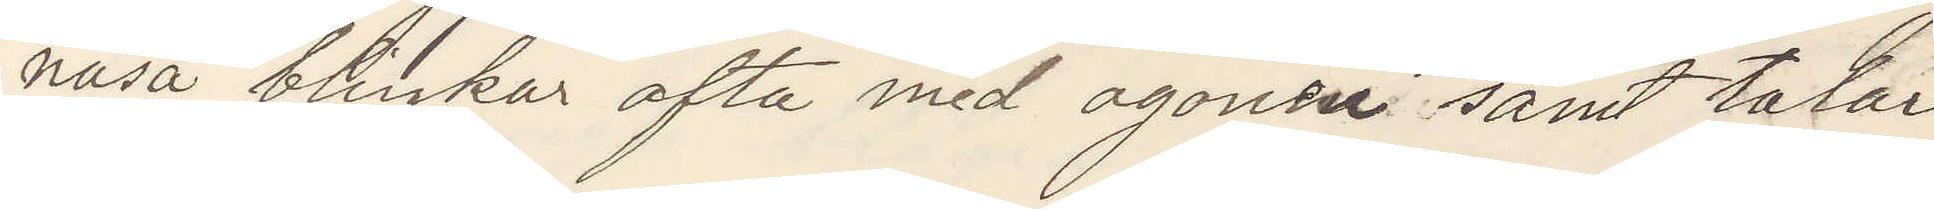näsa blinkar ofta med ögonen samt talar
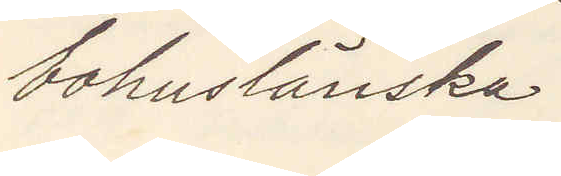bohuslänska.
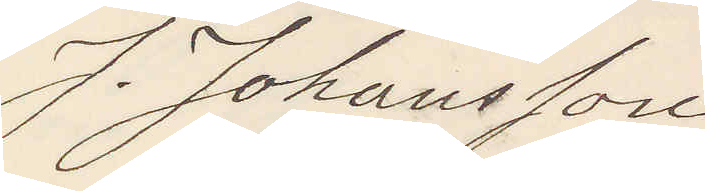J. Johansson
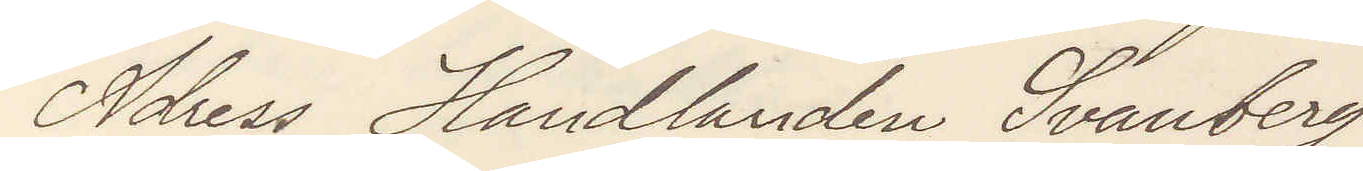Adress Handlanden Svanberg
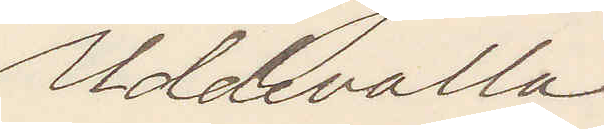Uddevalla.
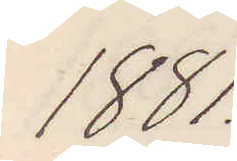1881.
